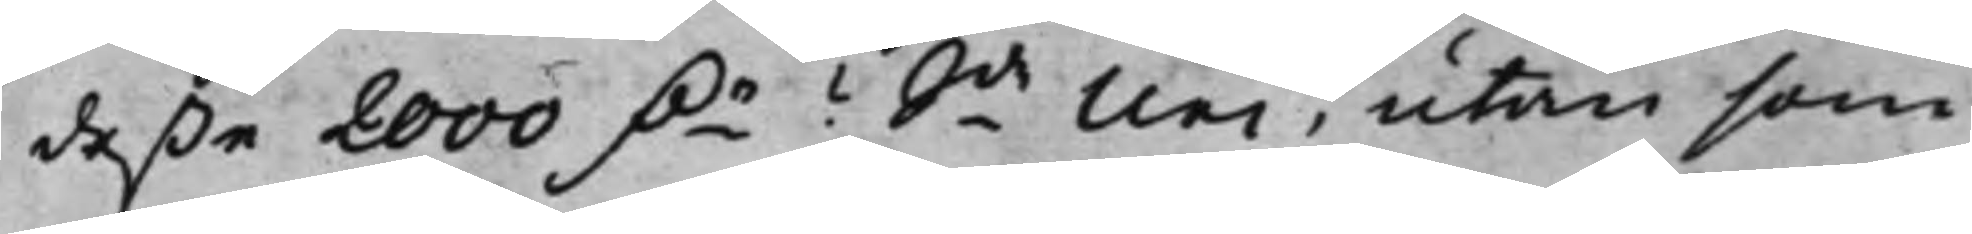deße 2000 D.r? Sde Nei, utan som
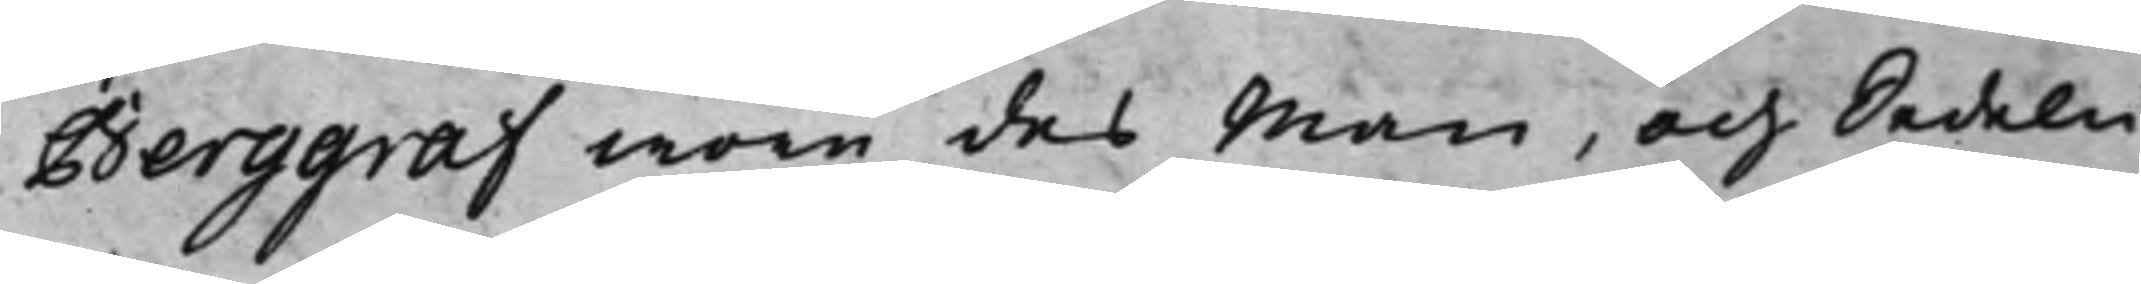Berggraf wore des Man, och Sedeln
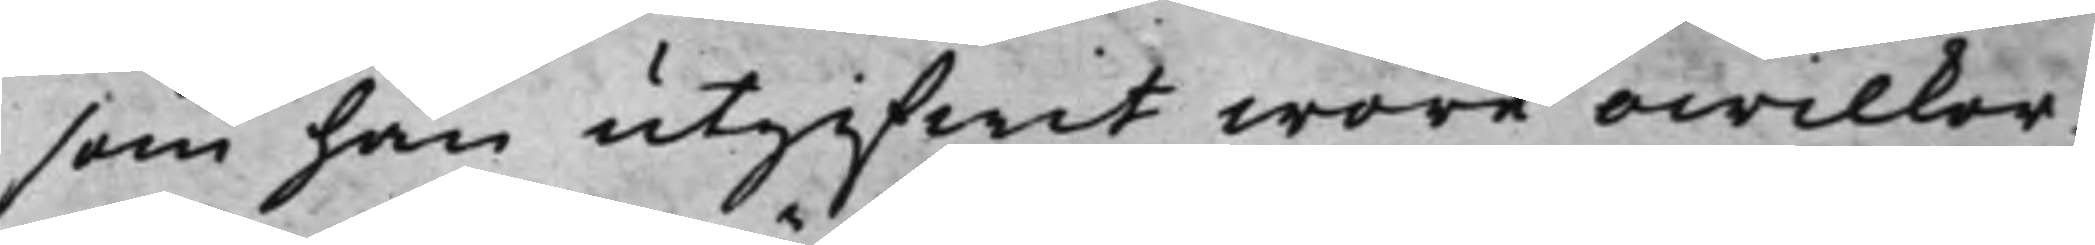som han utgifwit wore owilkor¬
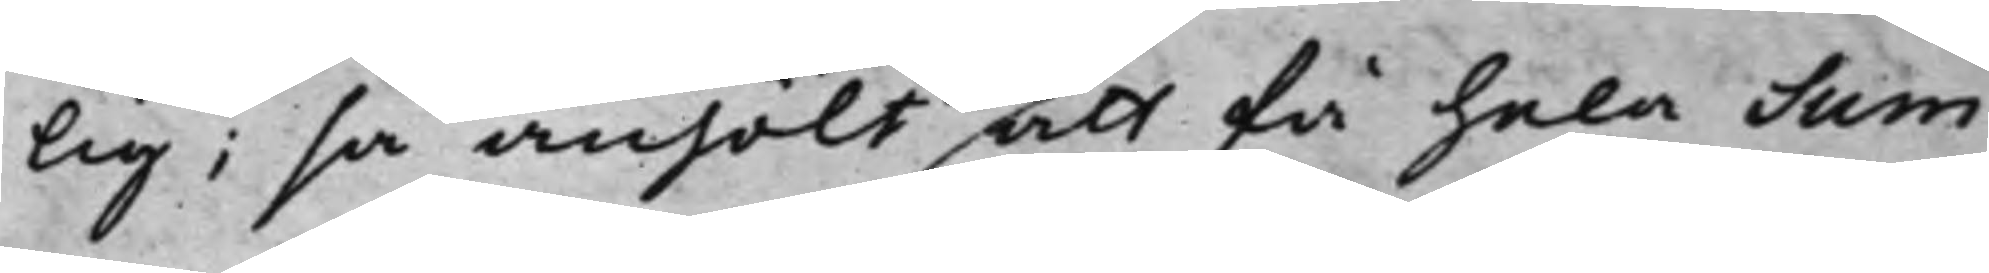lig; så anhölt att få hela Sum¬
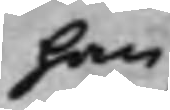han
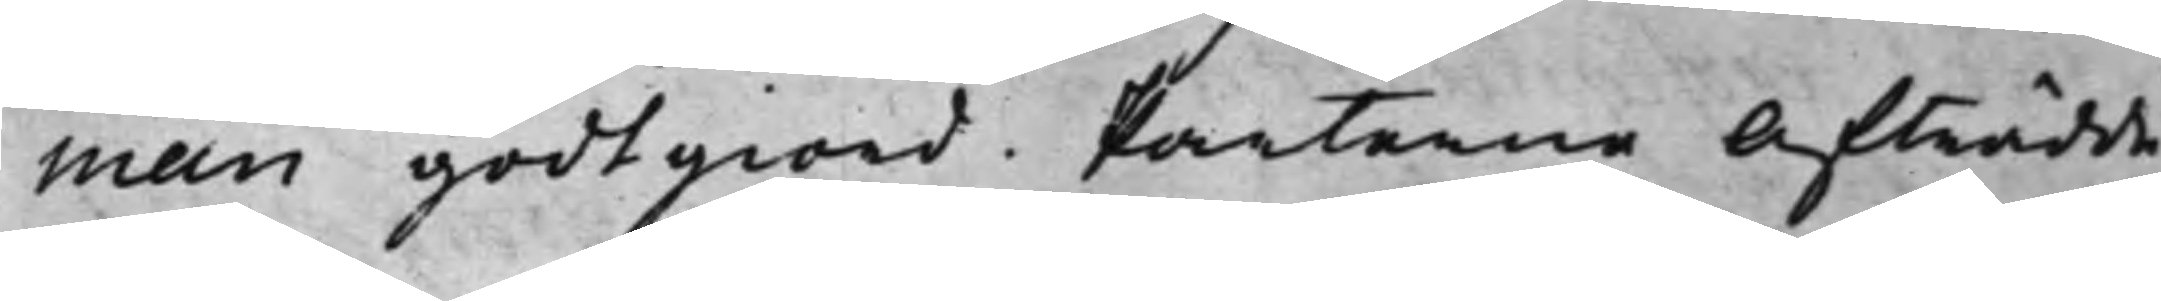man godtgiord. Parterne Afträdde
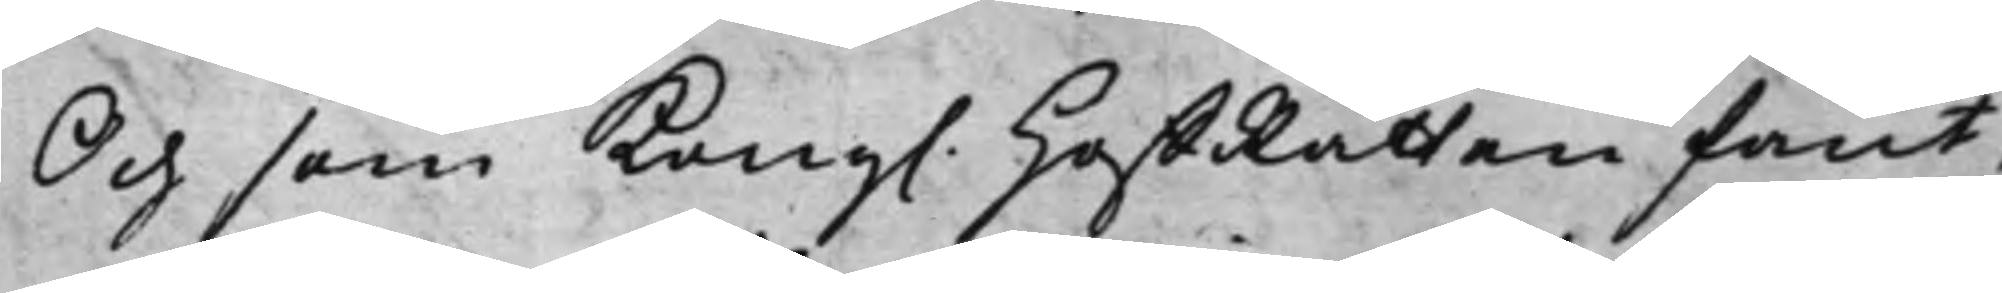Och som Kong. HoffRätten fant,
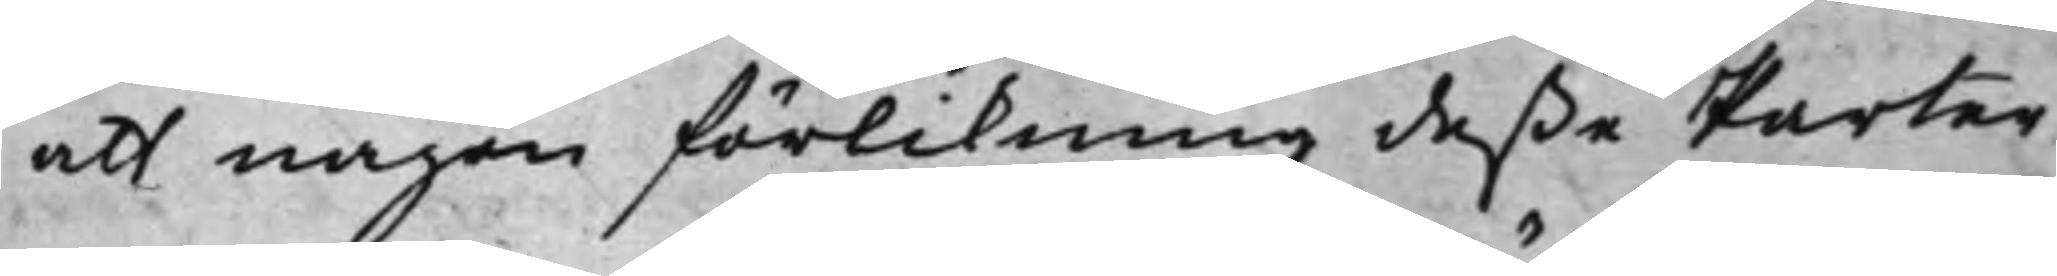att någon förlikning deße Parter
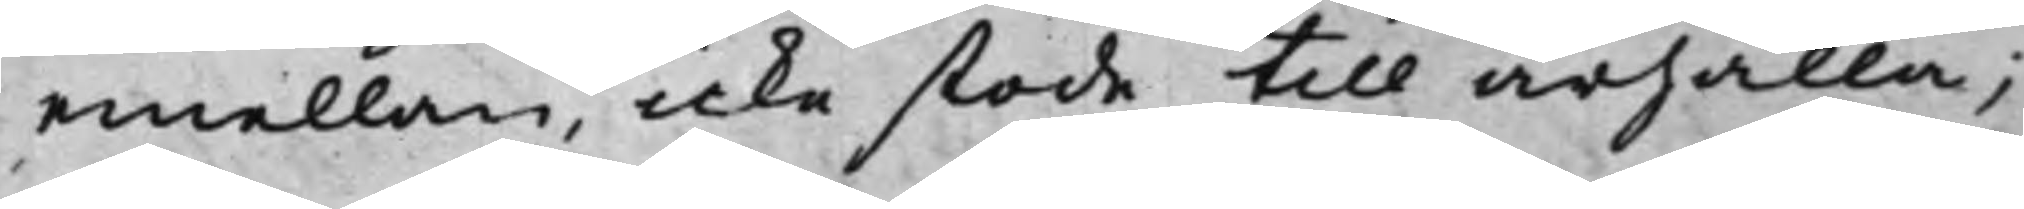emellan, icke stode till ärhålla;
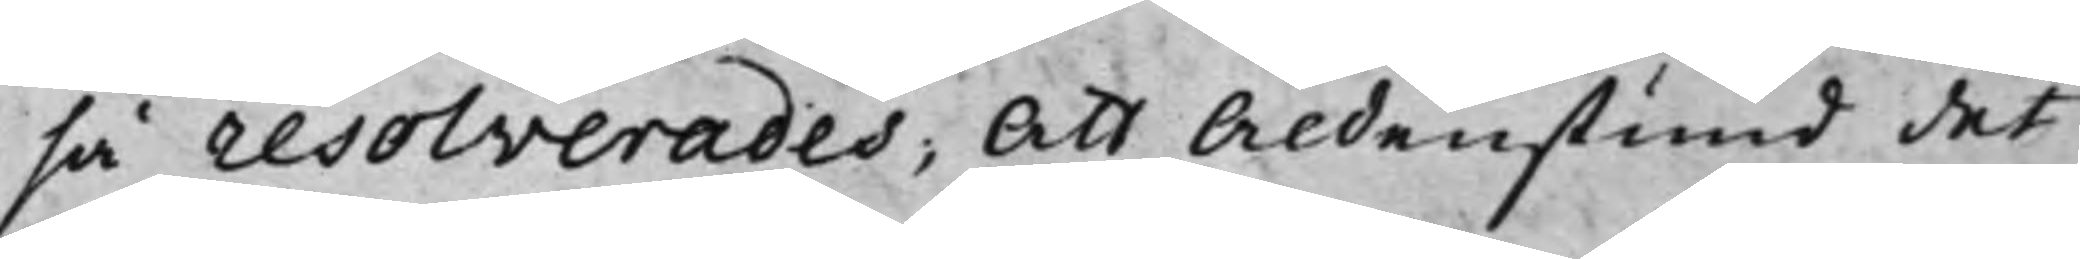så resolverades; Att Aldenstund det
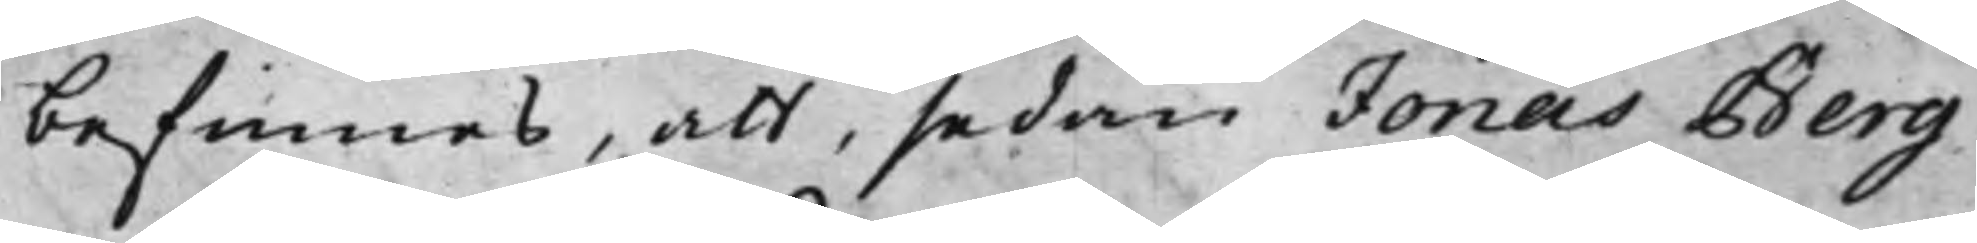befinnes, att, sedan Jonas Berg¬
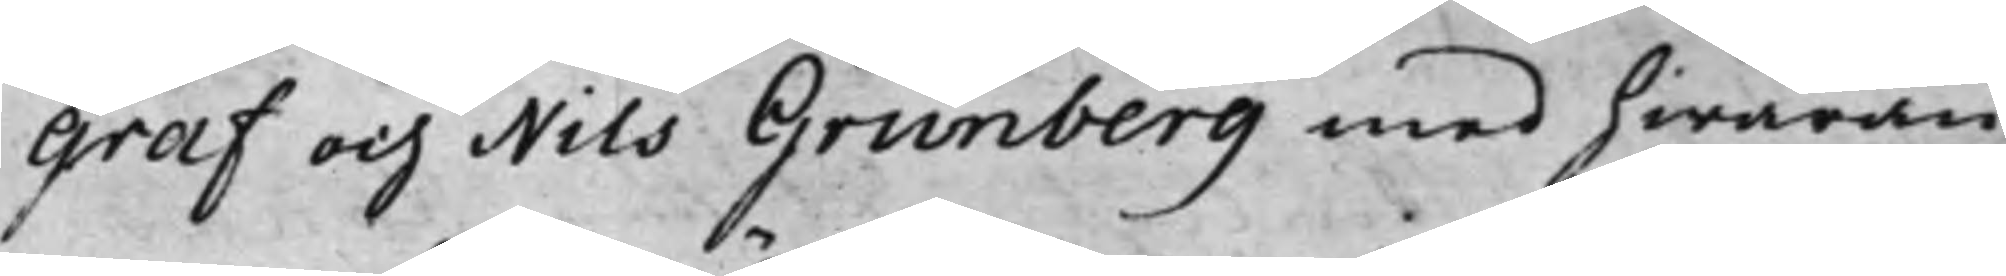graf och Nils Grunberg med hwaran¬
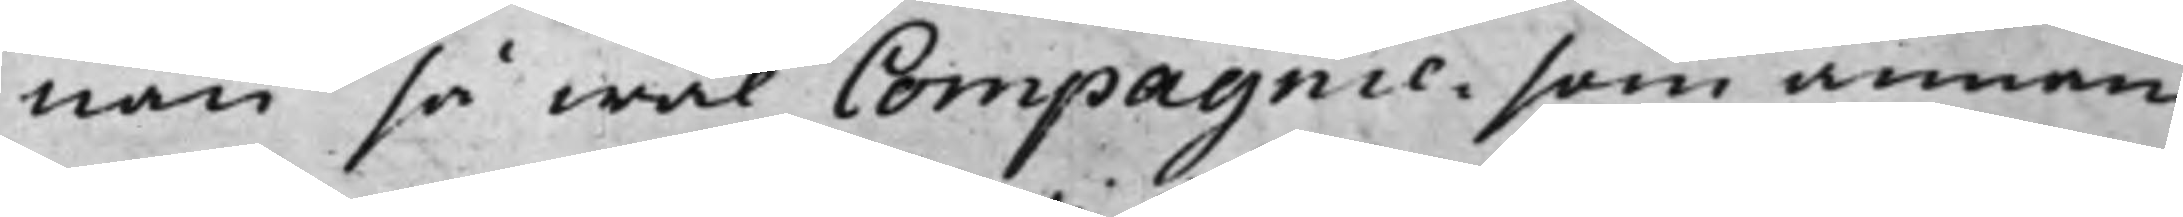nan så wäl Compagnie, som annan
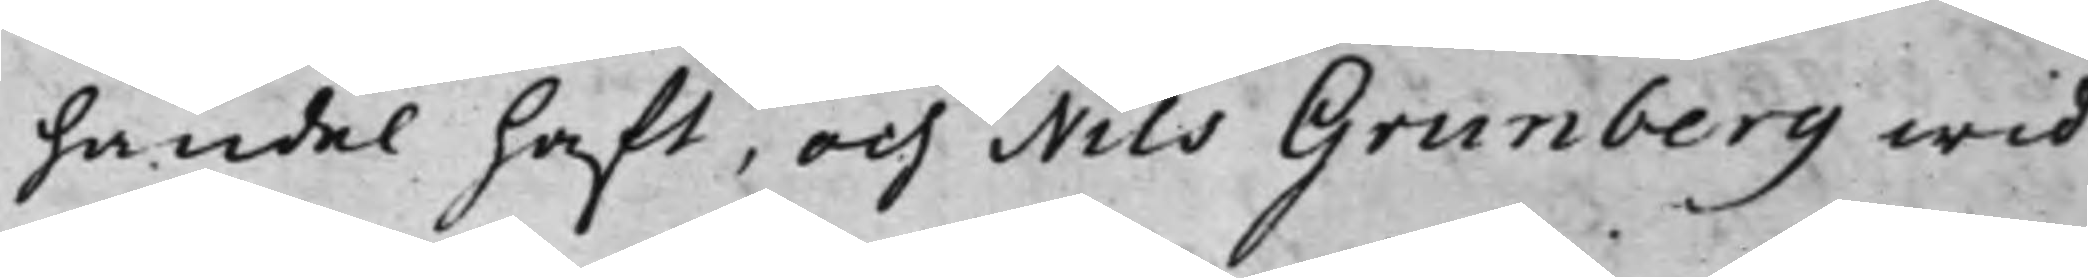handel haft, och Nils Grunberg wid
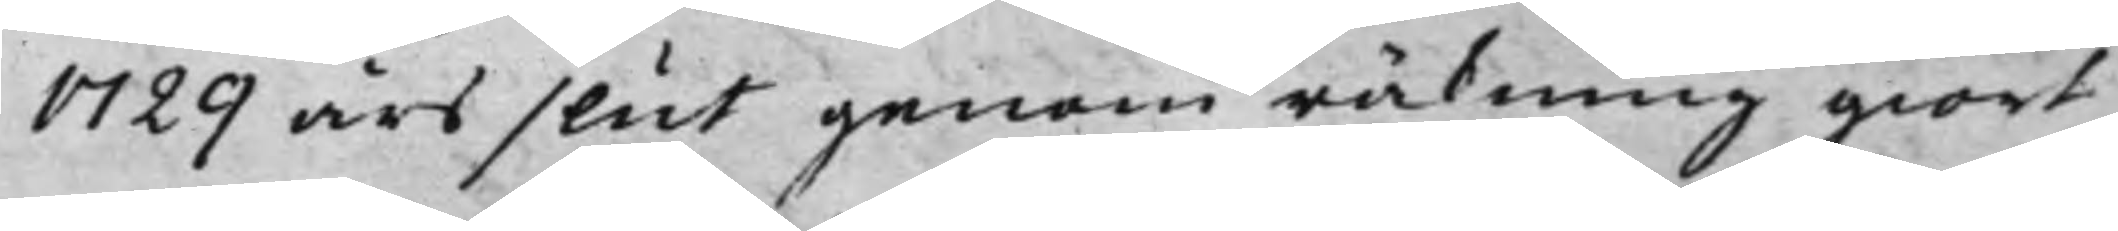1729 års slut genom räkning giort
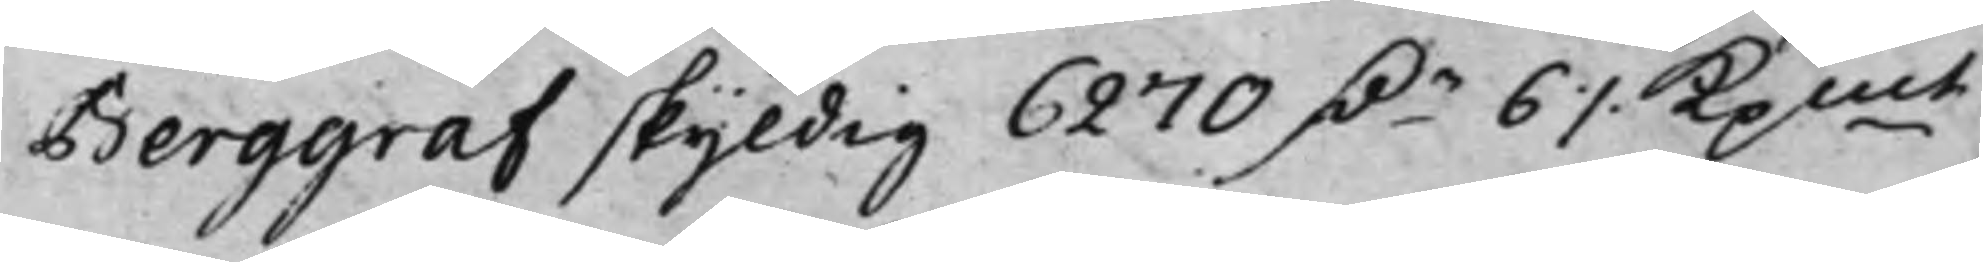Berggraf skyldig 6270 D.r 6 ./. Kpmt,
